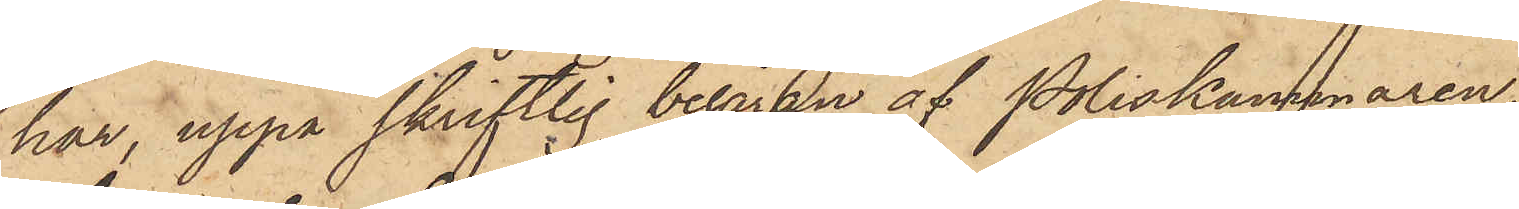har, uppå skriftlig begäran af Poliskammaren,
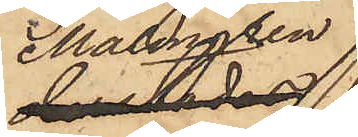Malmgren
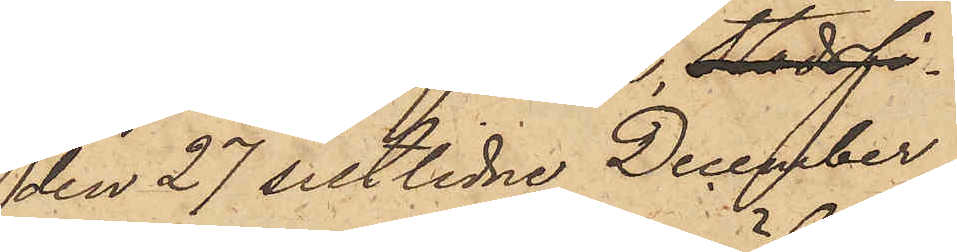den 27 sistlidne December
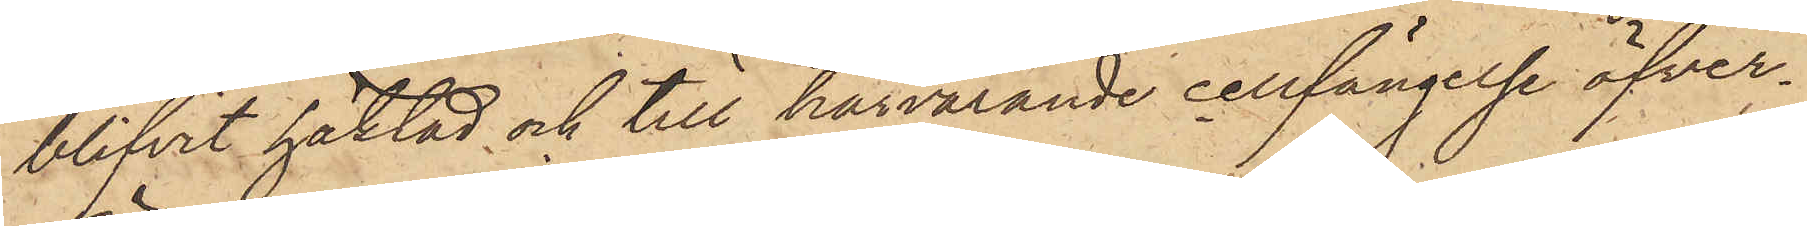blifvit häktad och till härvarande cellfängelse öfver¬
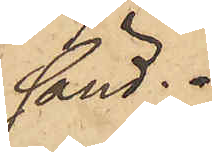sänd.
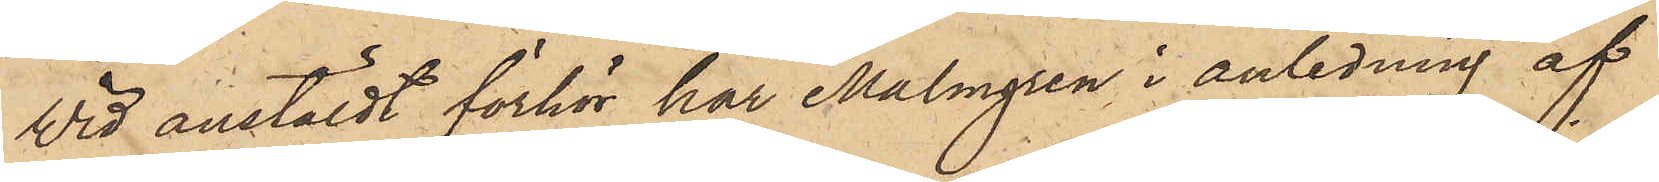Wid anstäldt förhör har Malmgren i anledning af
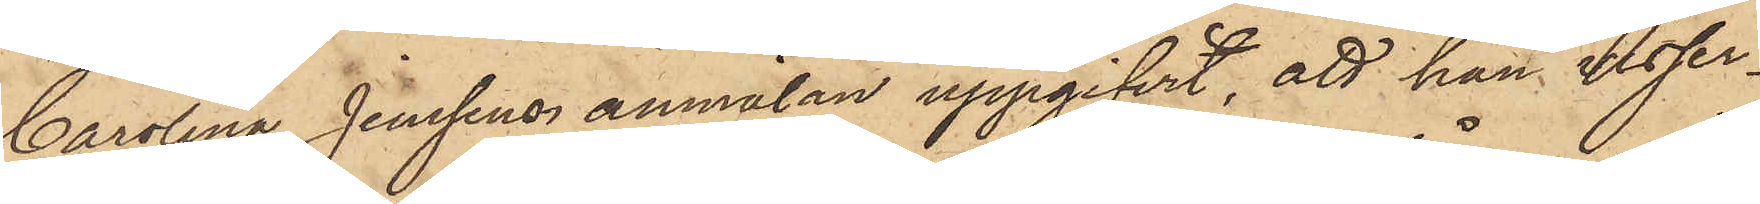Carolina Jensens anmälan uppgifvit, att han visser¬
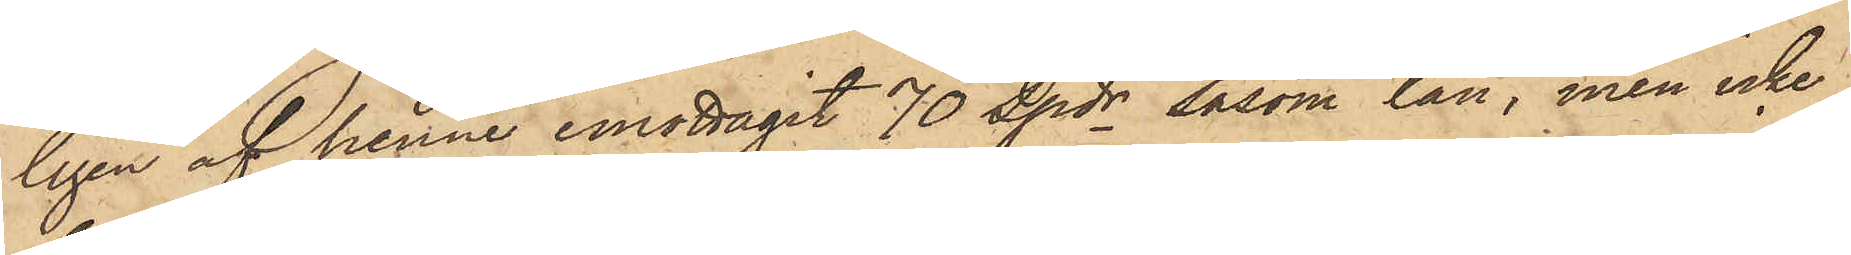ligen af henne emottagit 70 spdr såsom lån, men icke
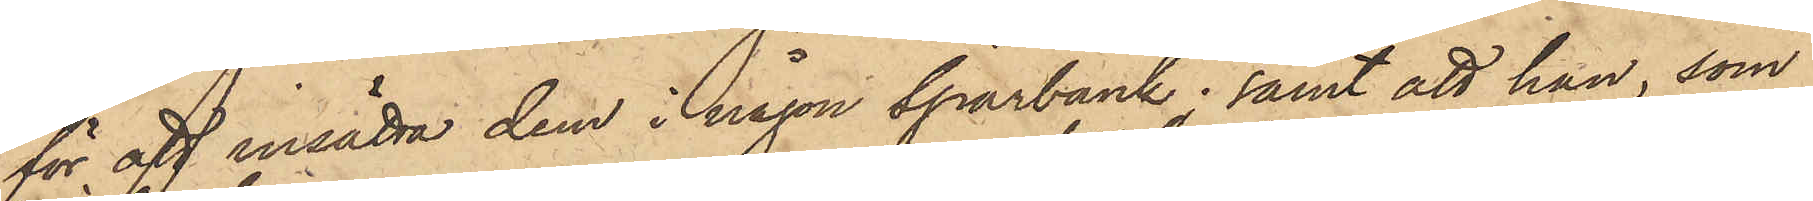för att insätta dem i någon sparbank; samt att han, som
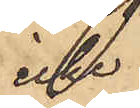icke
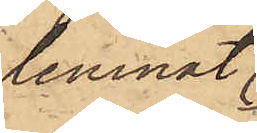lemnat
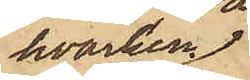hvarken
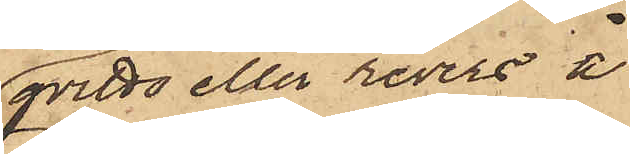qvitto eller revers å
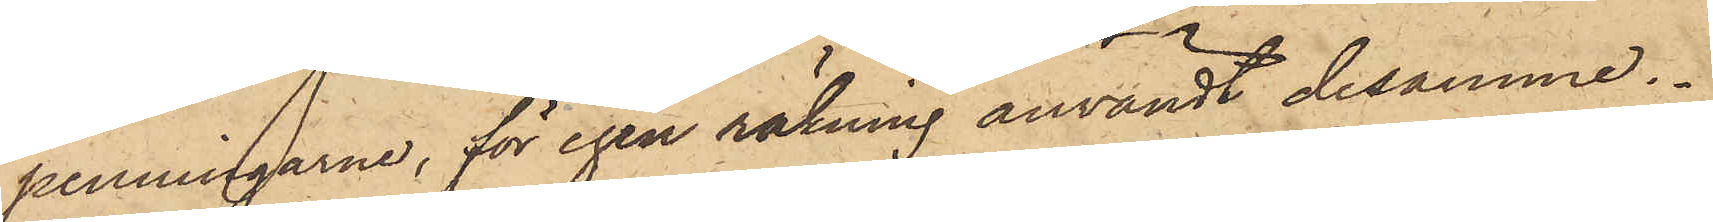penningarne, för egen räkning användt desamme.
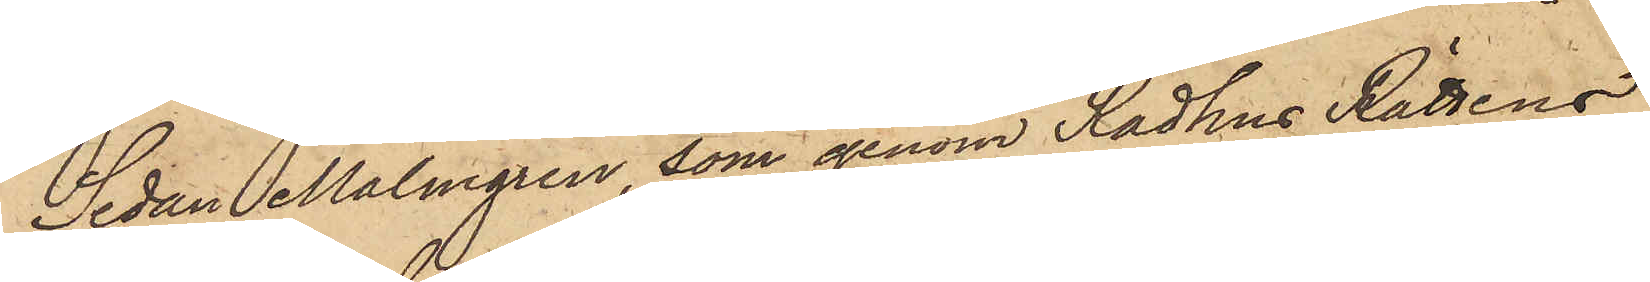Sedan Malmgren, som genom Rådhus Rättens
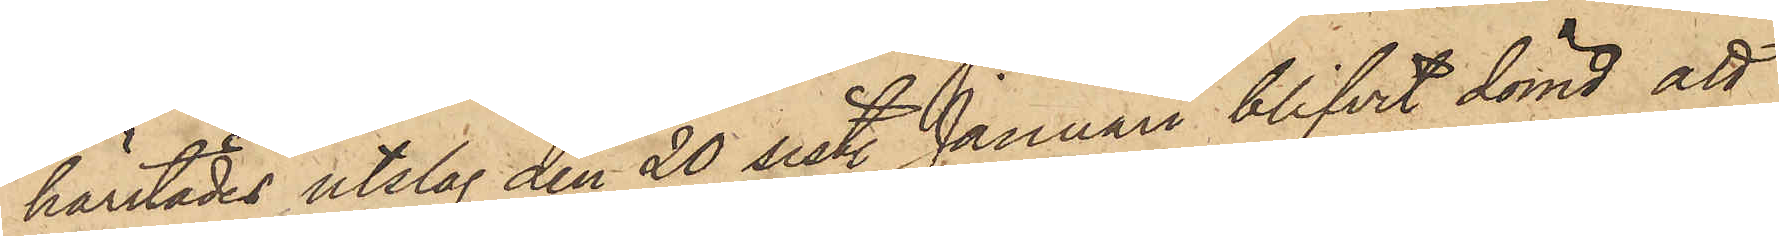härstädes utslag den 20 sist. Januari blifvit dömd att
